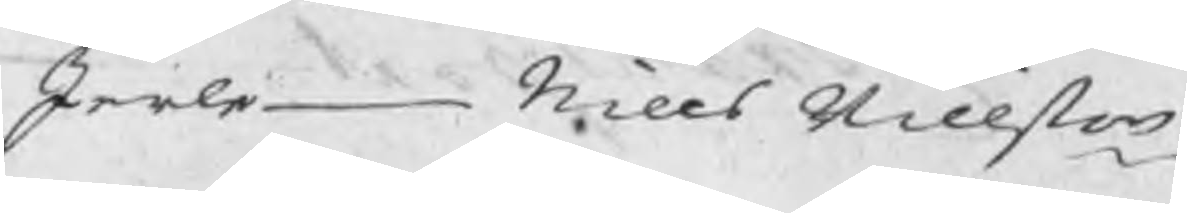Jerle Nills Nillßon
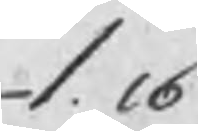1.16
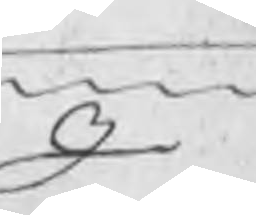I
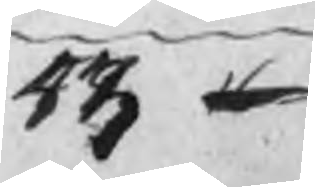53 16
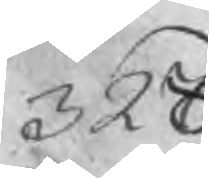328
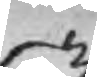53
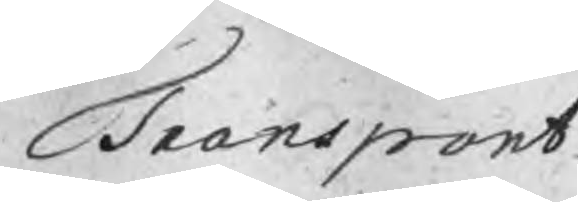Transport
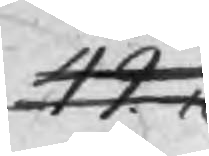42.16
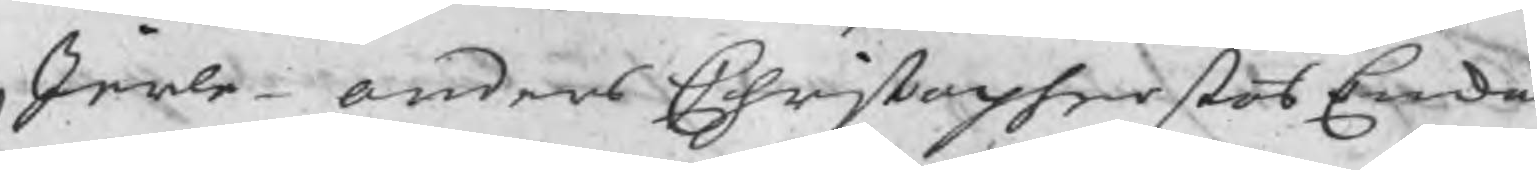Jerle Anders Christoperßons Enka
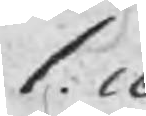1.16
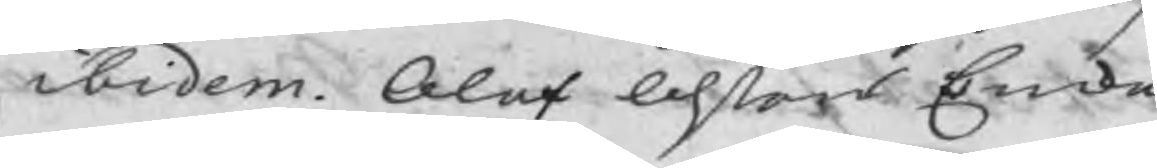ibidem Olof Olßons Enka
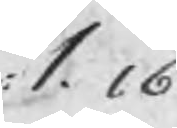1.16
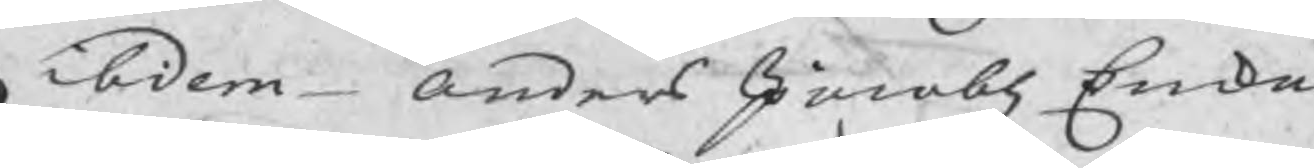ibidem Anders Jacobz Enka
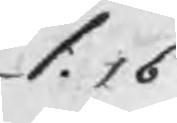1.16
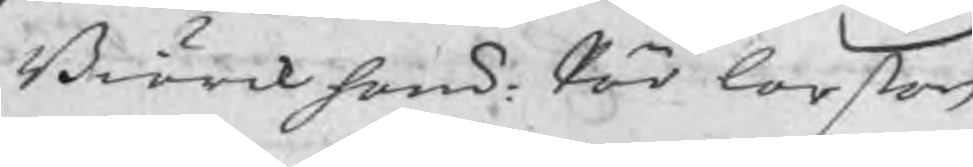Biörcksons: Pär Larsßon
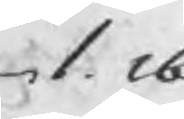1.16
